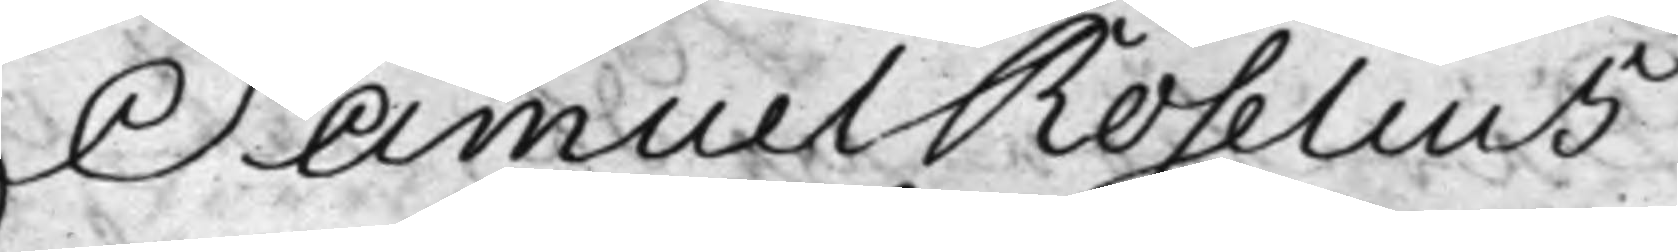Samuel Roselius
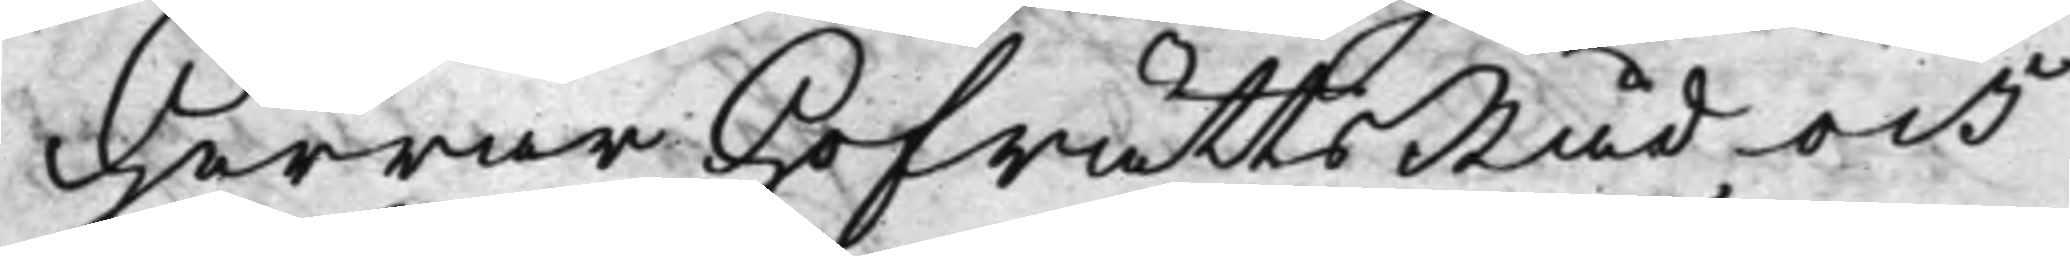Herrar HofrättsRåd och
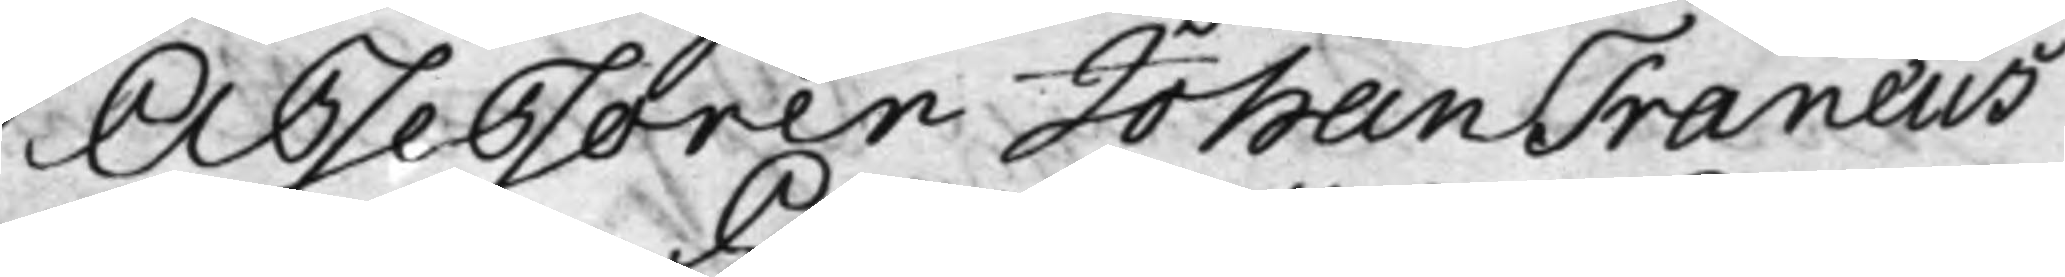Assessorer Johan Tranæus
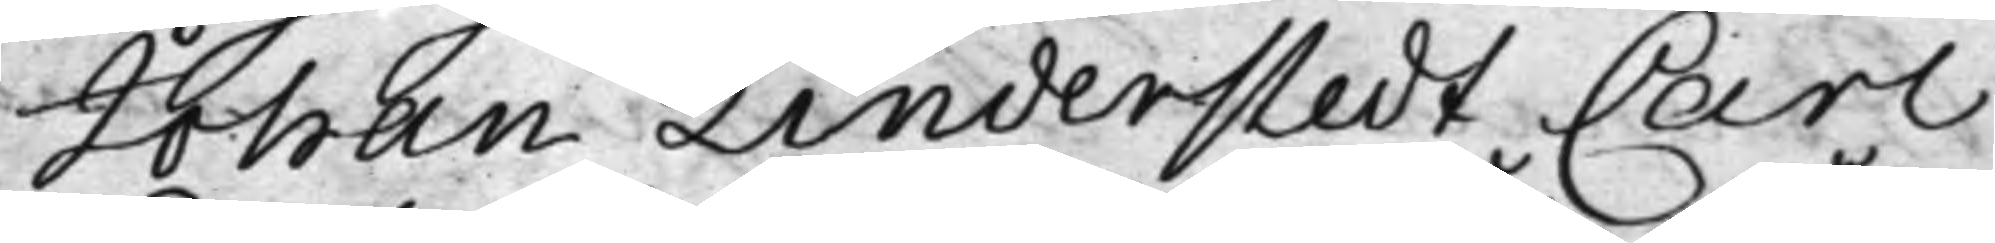Johan Linderstedt Carl
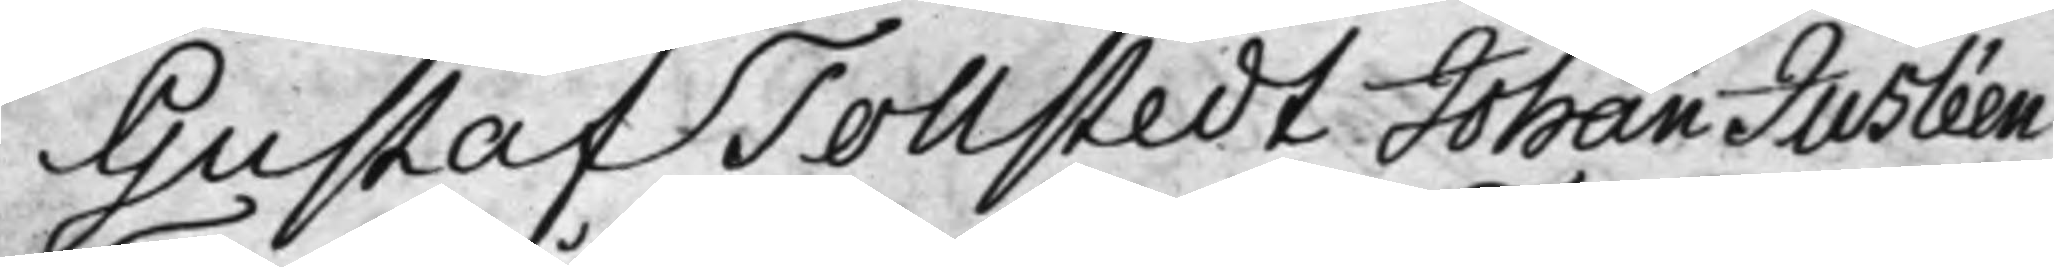Gustaf Tollstedt Johan Jusléen
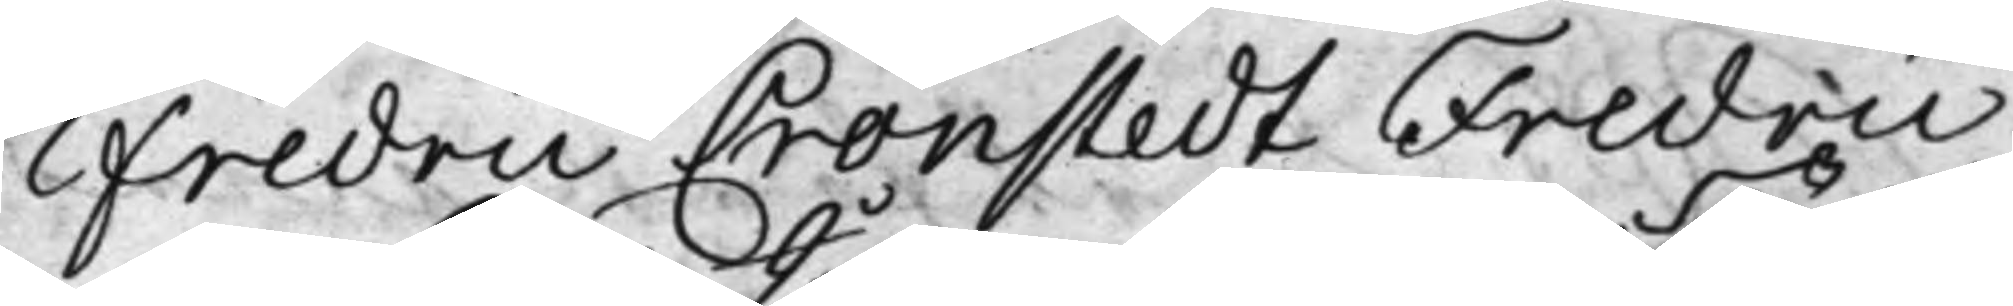Fredric Cronstedt Fredric
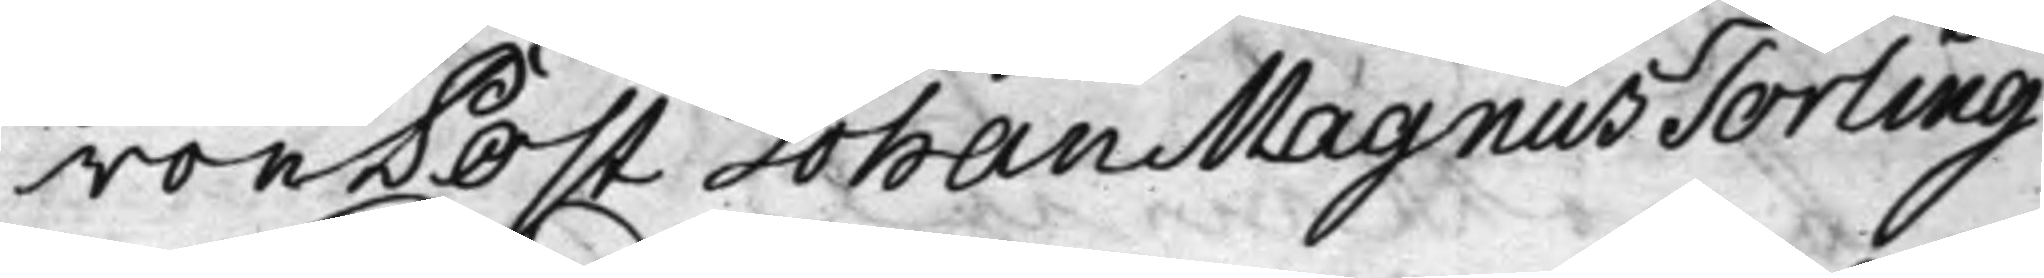von Post Johan Magnus Törling
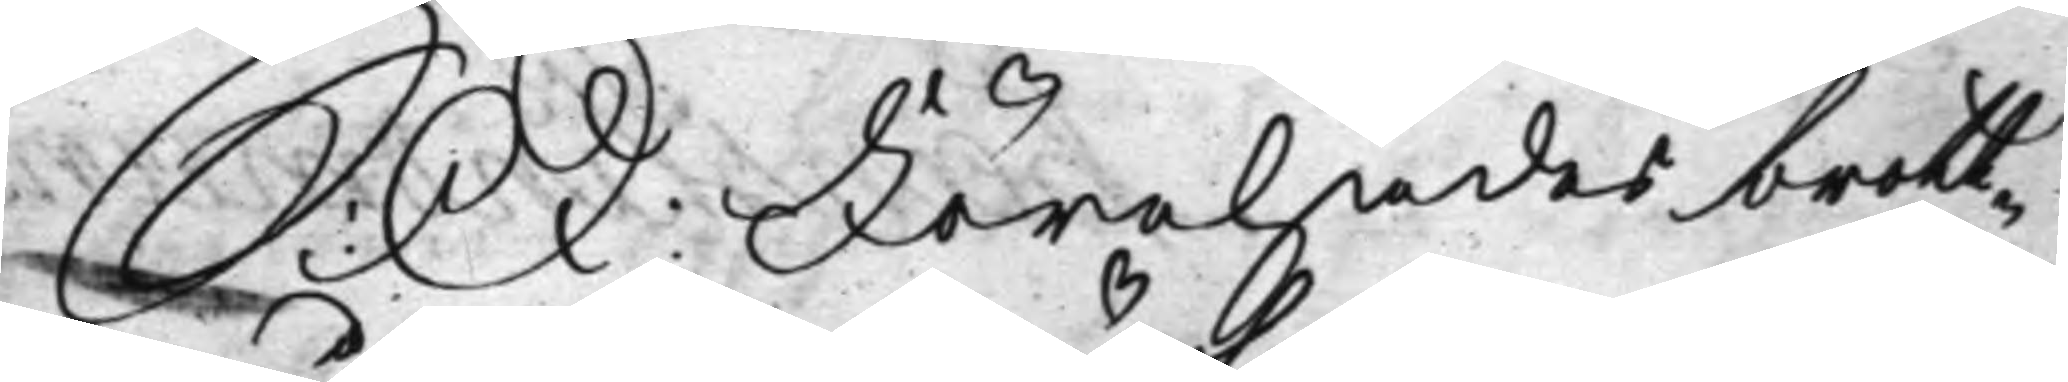S: D: Förehades brott¬
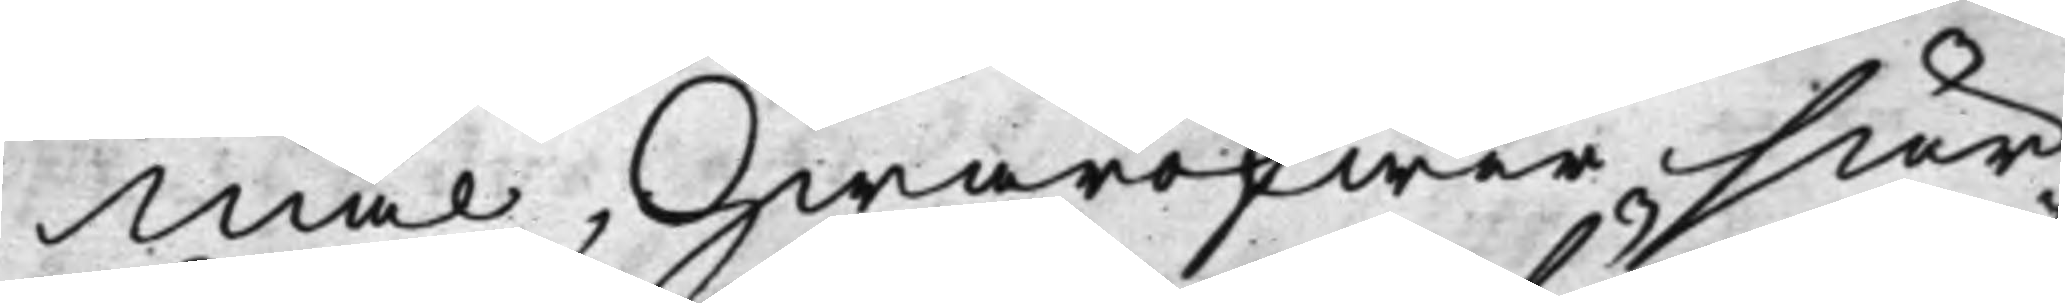mål, Hwaröfwer sär¬
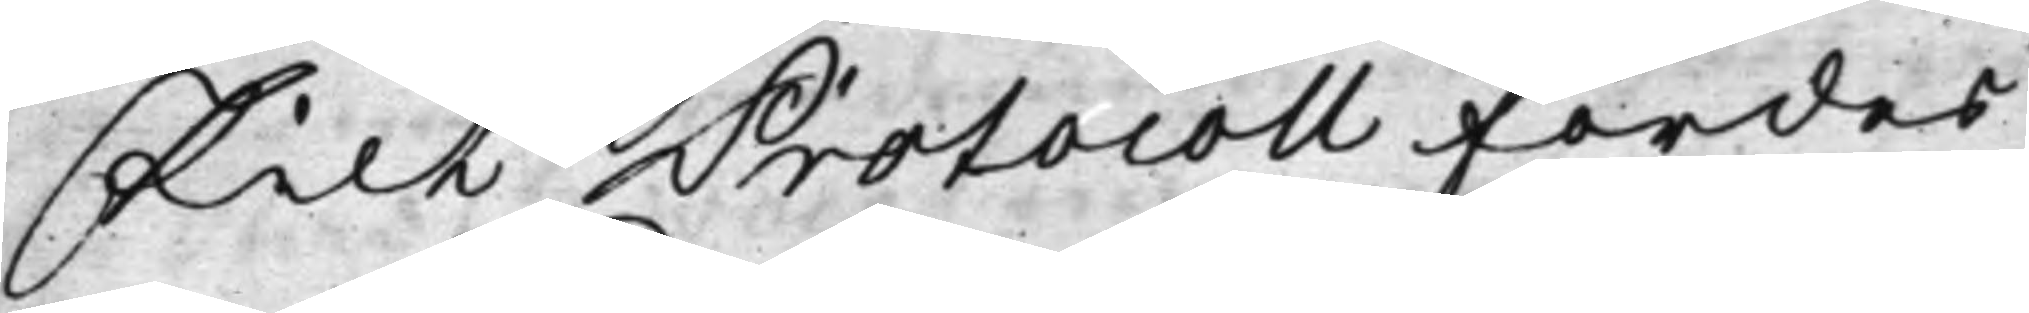skilt Protocoll fördes
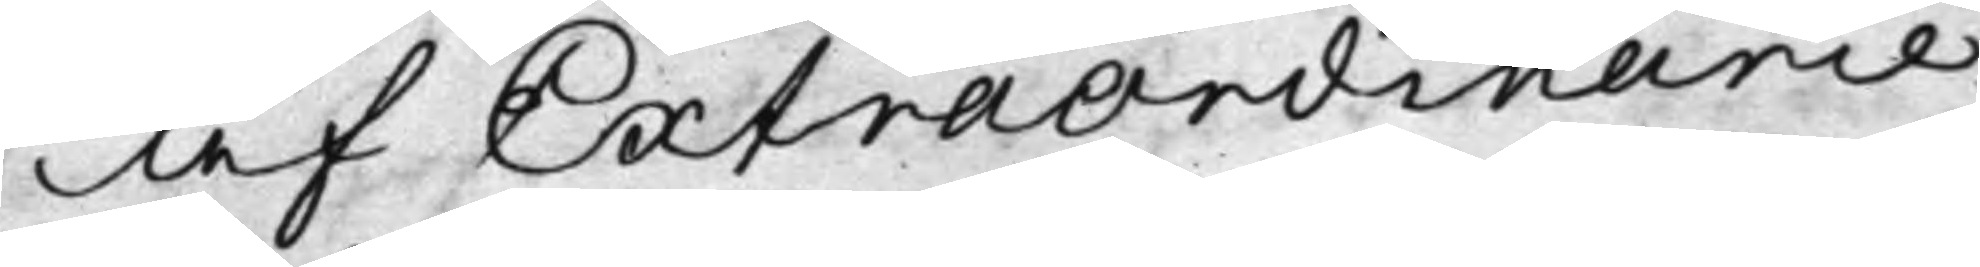af ExtraOrdinanie
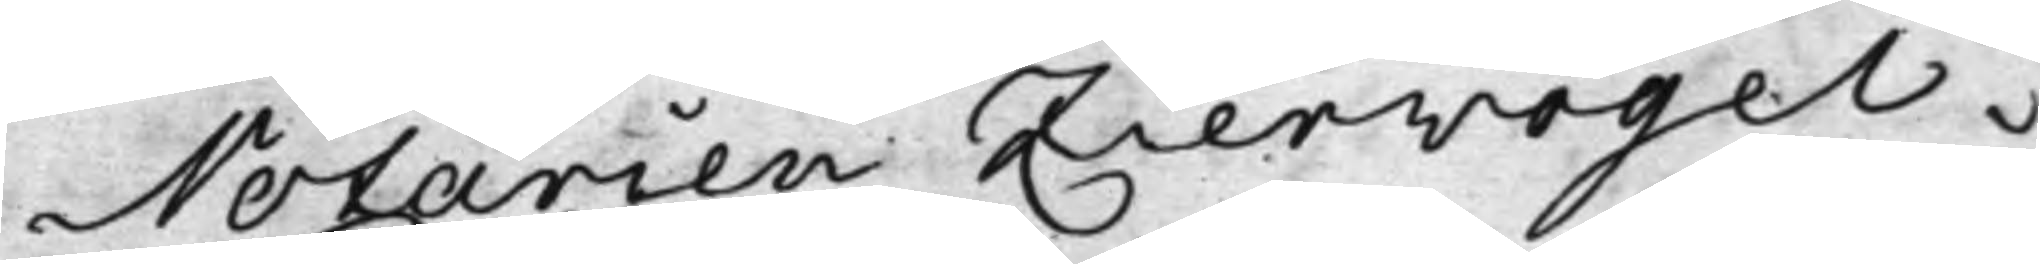Notarien Ziervogel.
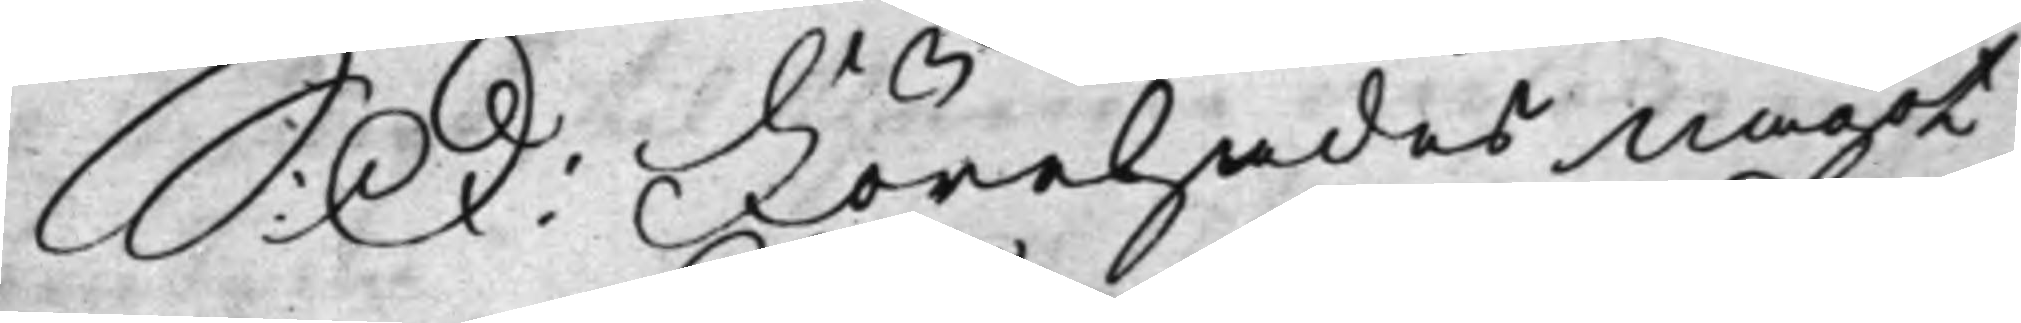S: D: Förehades något
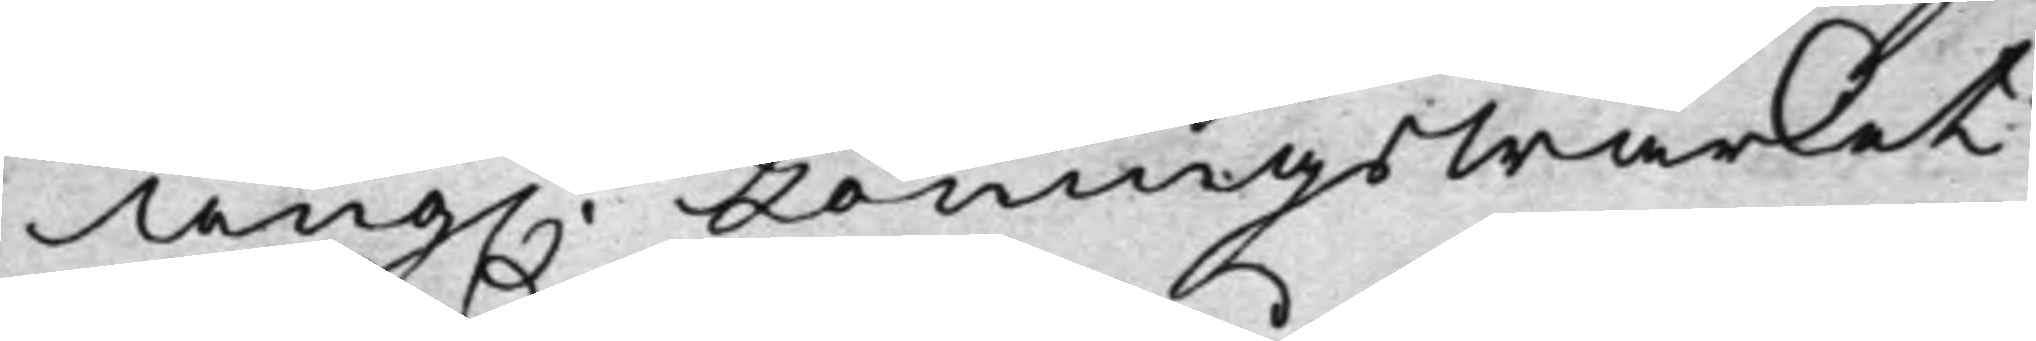ang. Löningswärket
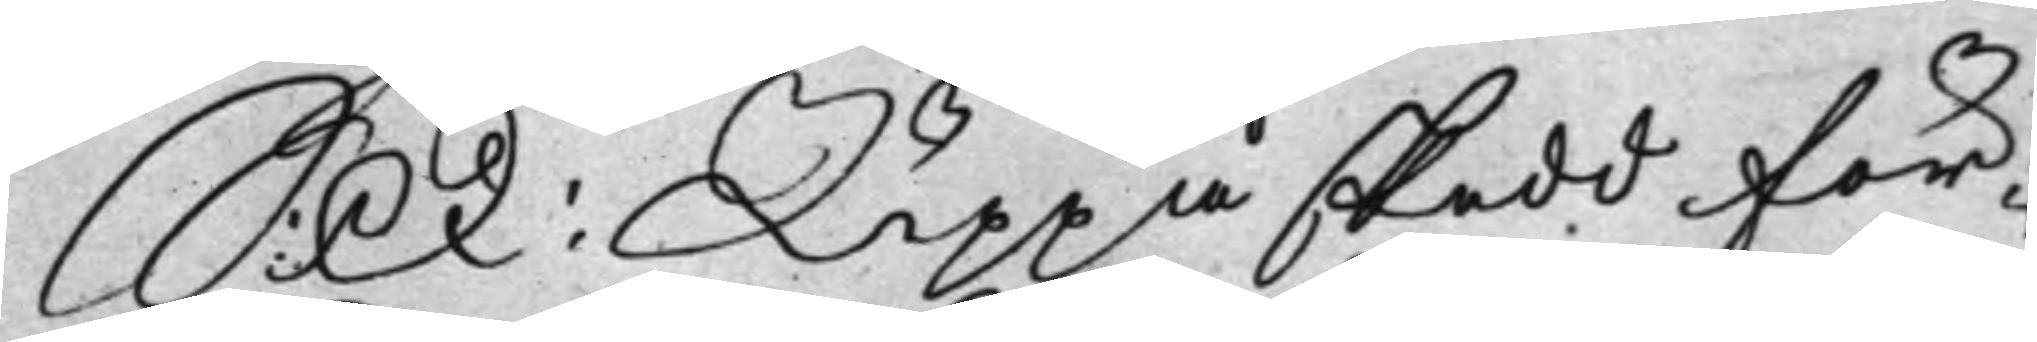S: D: Uppå skedd för¬
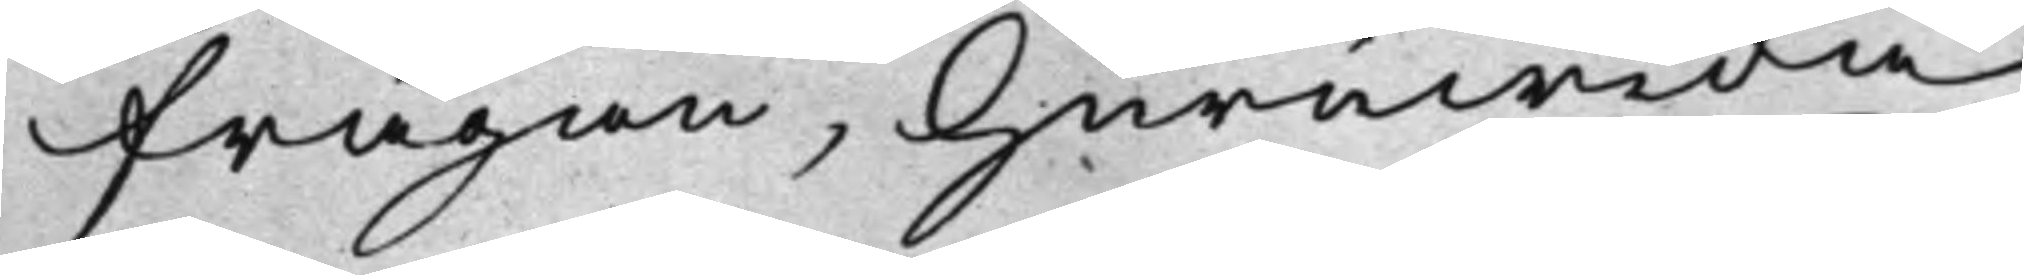frågan, huruwida
